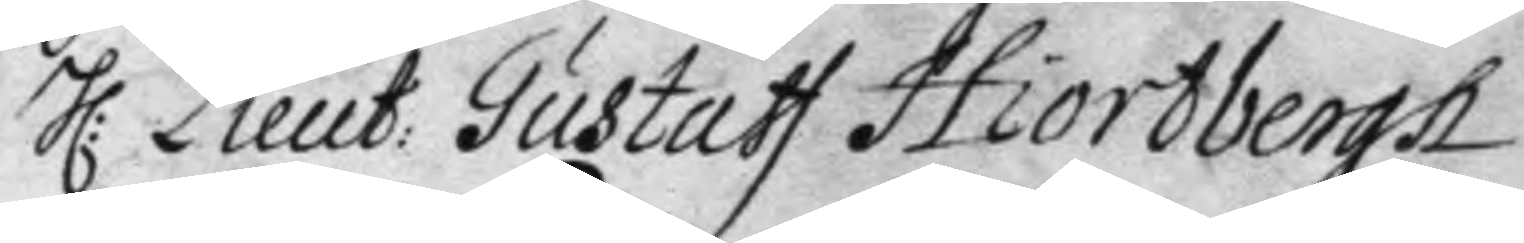H: Lieut: Gustaff Hiortbergh
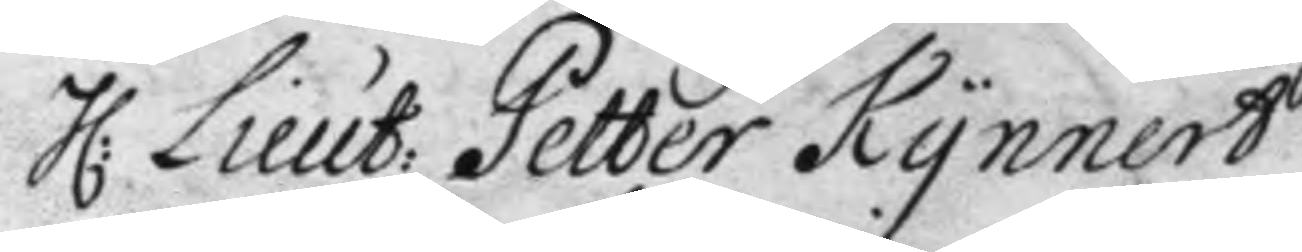H: Lieut: Petter Kynnert
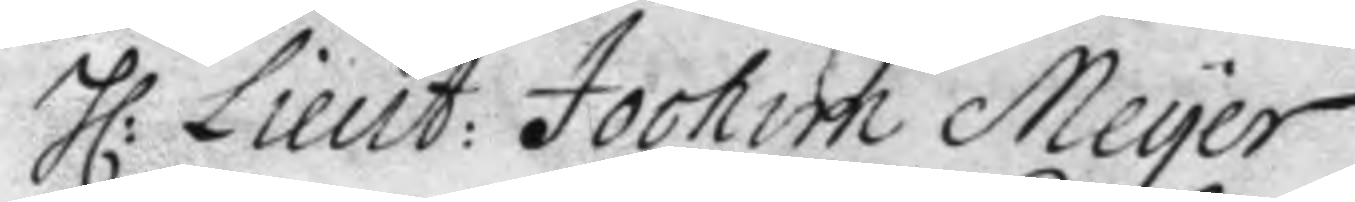H: Lieut: Jochim Meyer
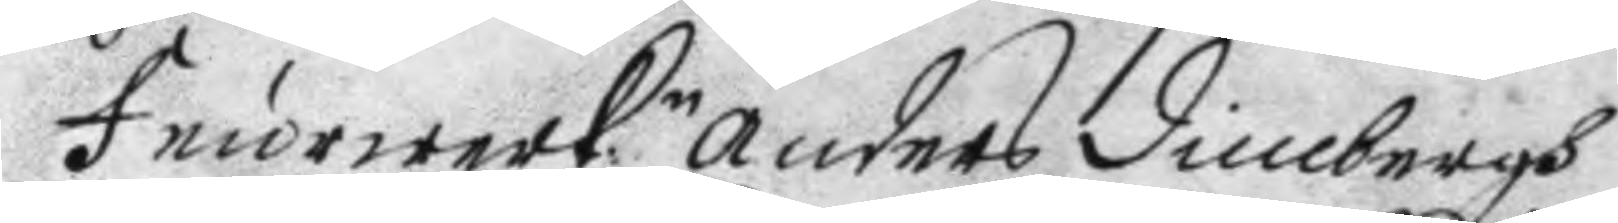Feurwerk:n anders dimbergh
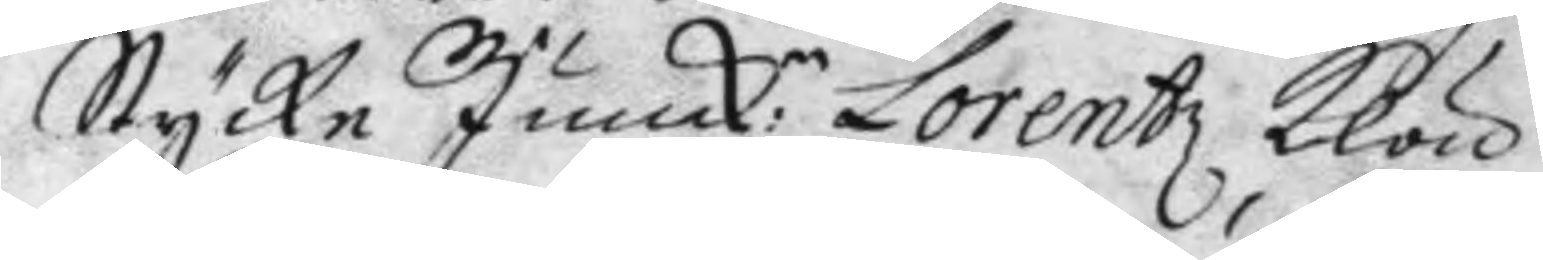Stycke Junck:n Lorentz Klou
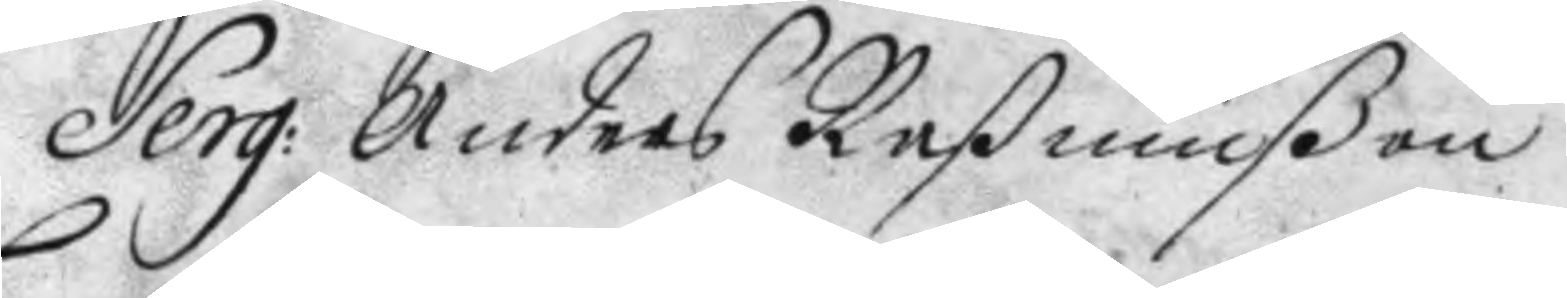Serg: anders Raßmußon
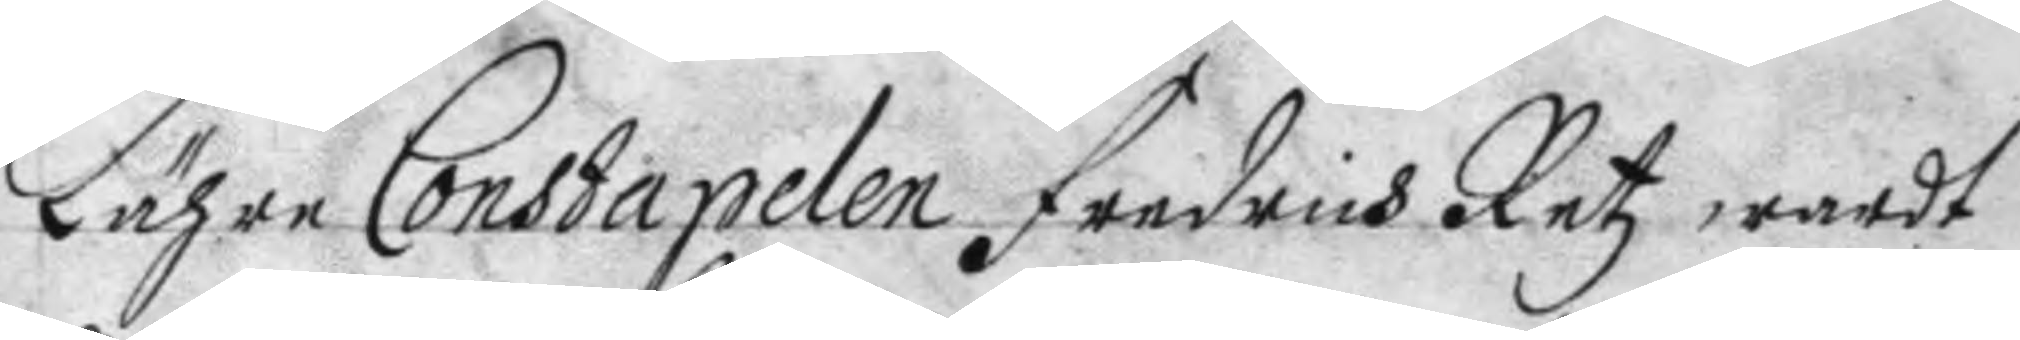Lähre Constapelen Fredrich Retz wardt
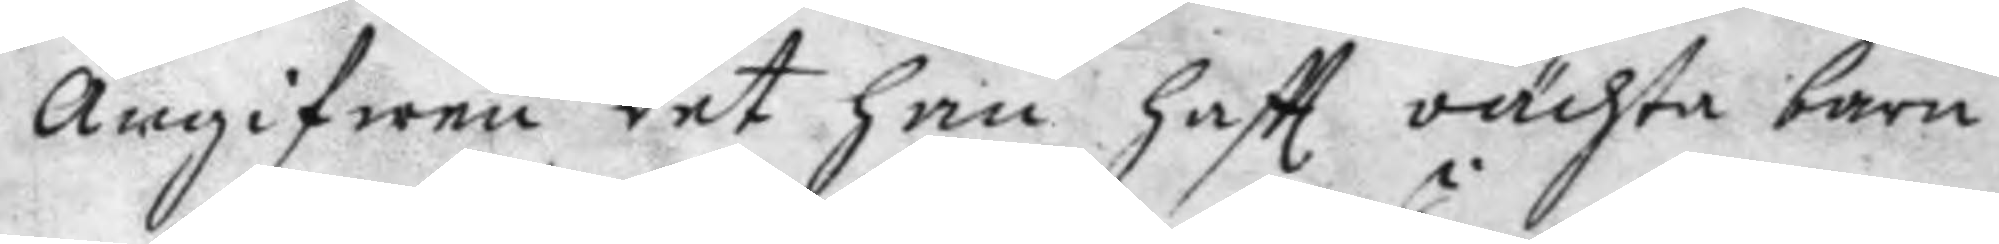angifwen det han haftt oächta barn
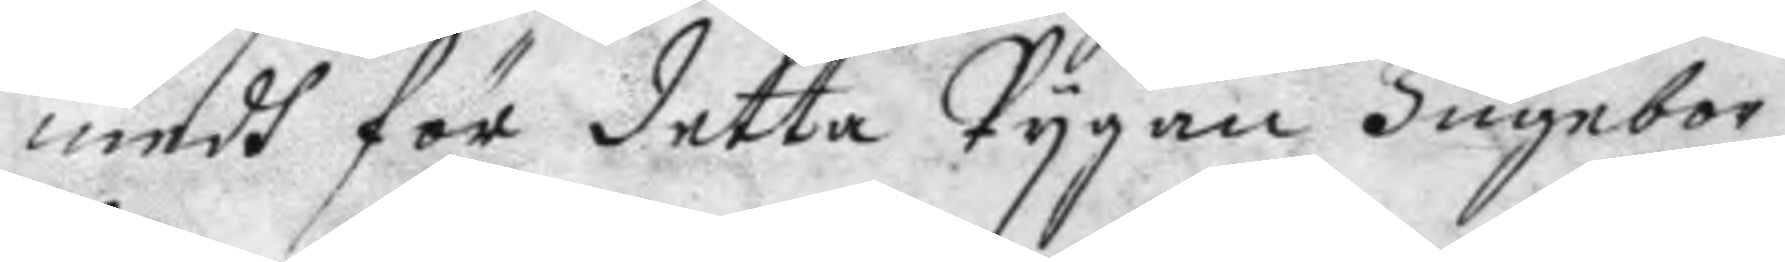medh för detta Pygan Ingebor
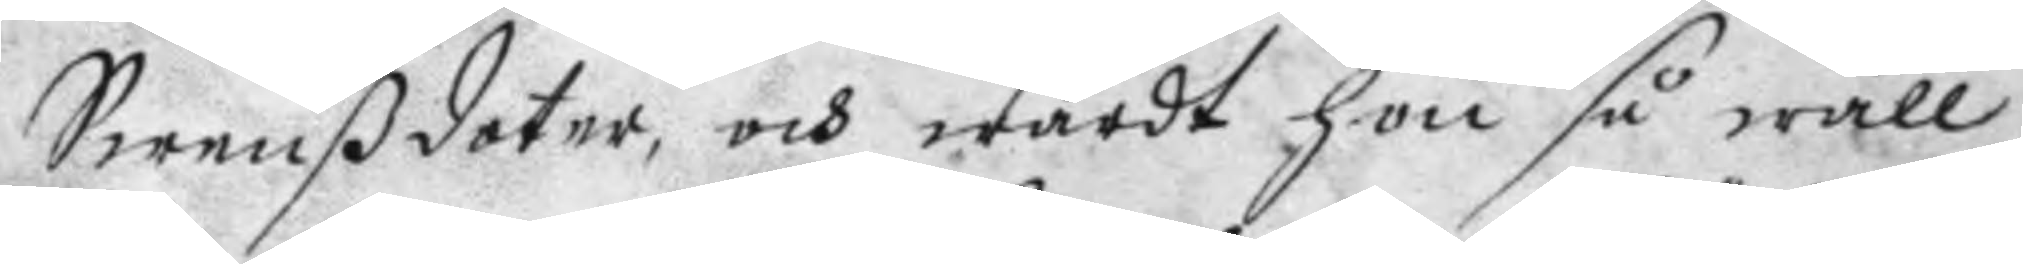Swenßdoter, och wardt hon så wäll
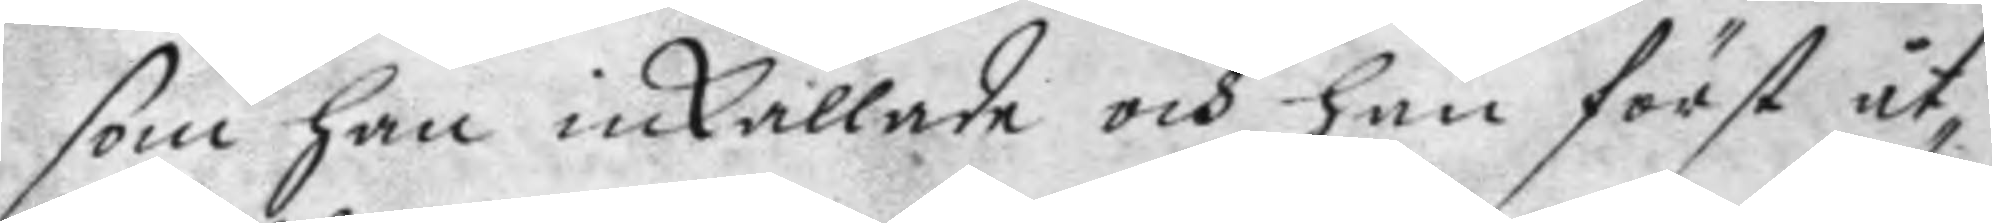som han inkallade och han först åt¬
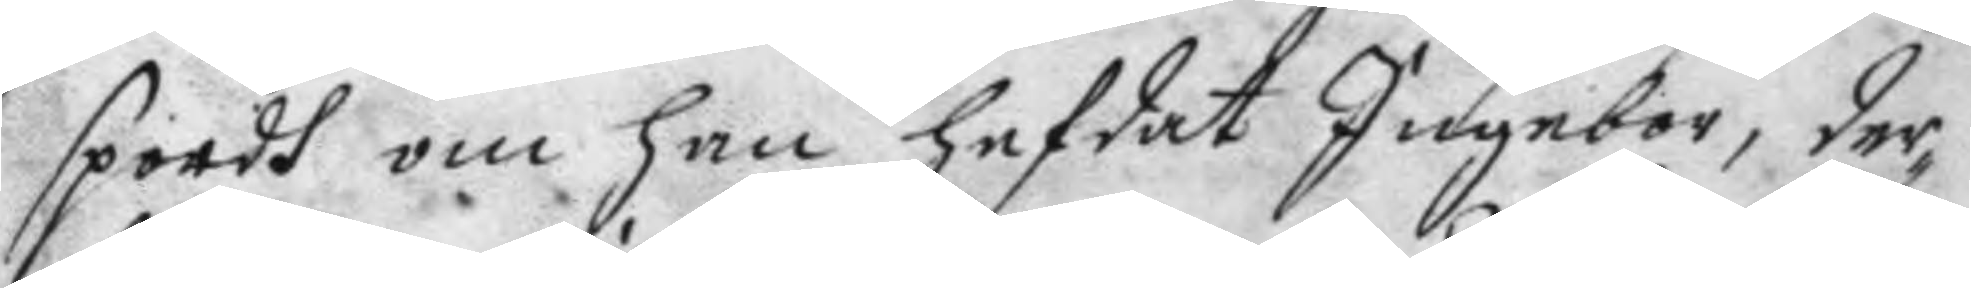spordh om han hefdat Ingebor, der¬
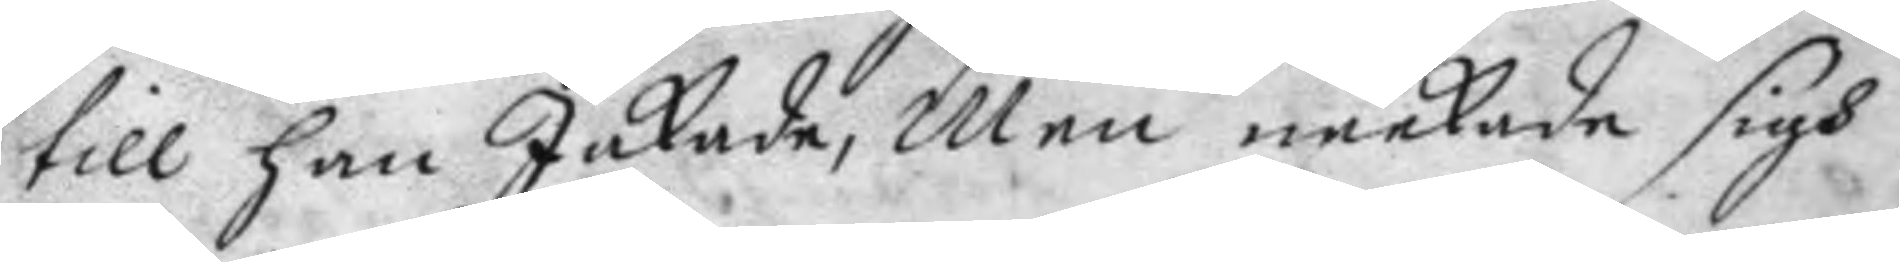till han Jakade. Men neekade sigh
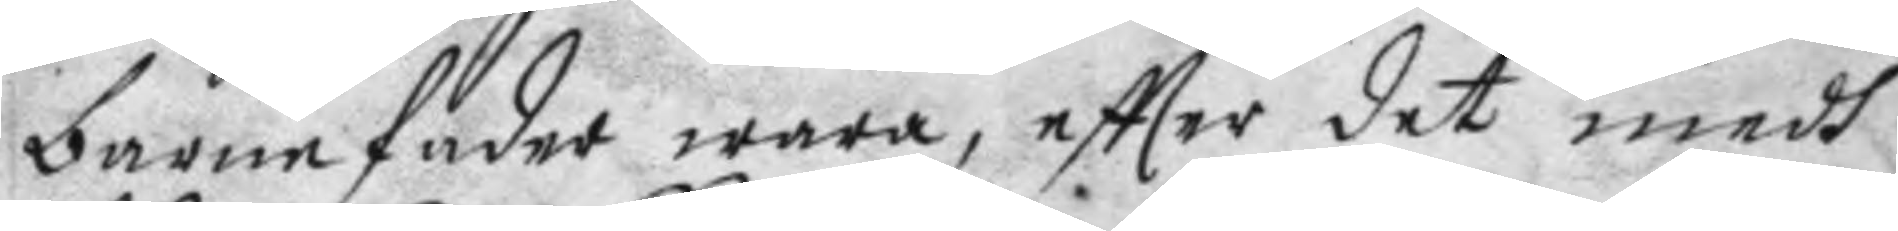barnefader wara, eftter det medh
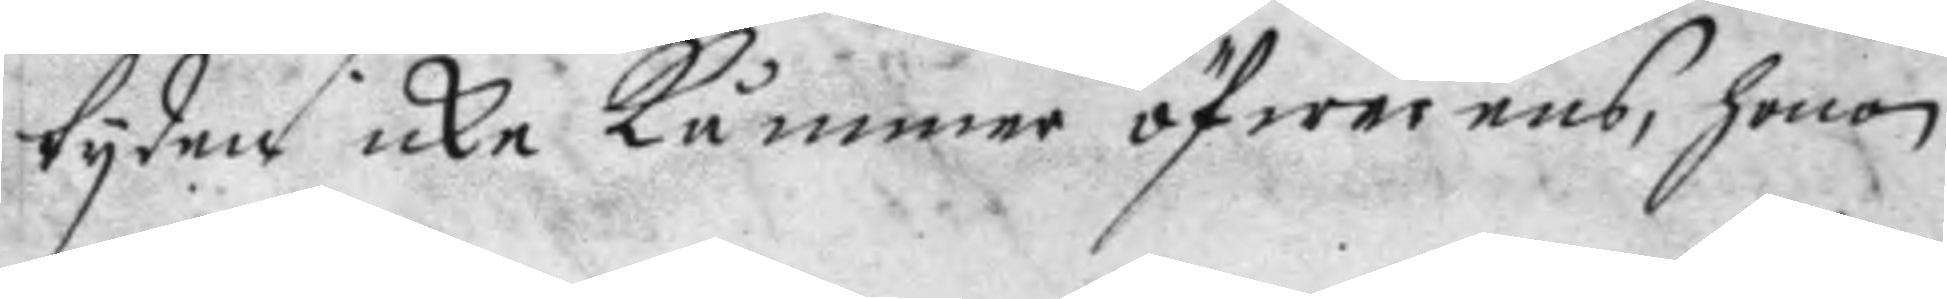tyden icke kåmmer öfwerens, honom
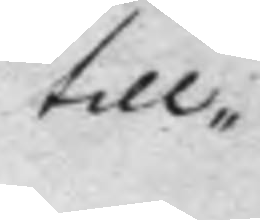till
